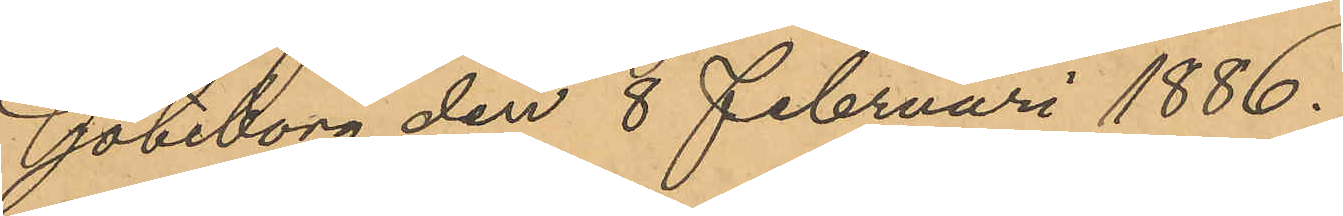Göteborg den 8 Februari 1886.
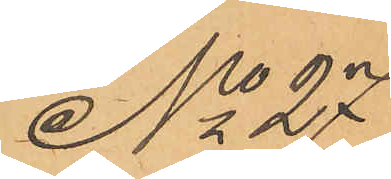No 27
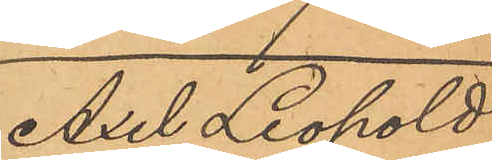Axel Leopold
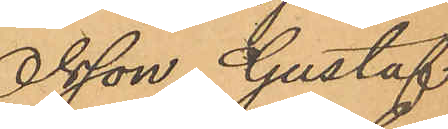Olsson, Gustaf
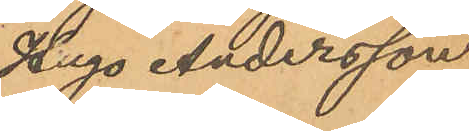Hugo Andersson
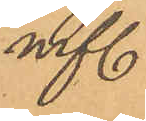m fl.
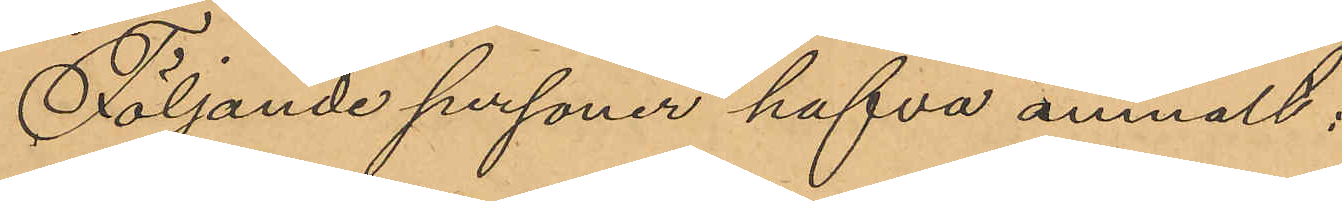Följande personer hafva anmält:
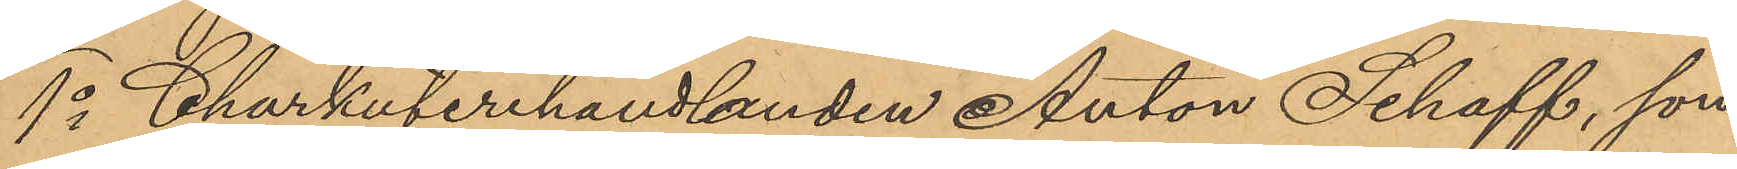1o Charkuterihandlanden Anton Schaff, som
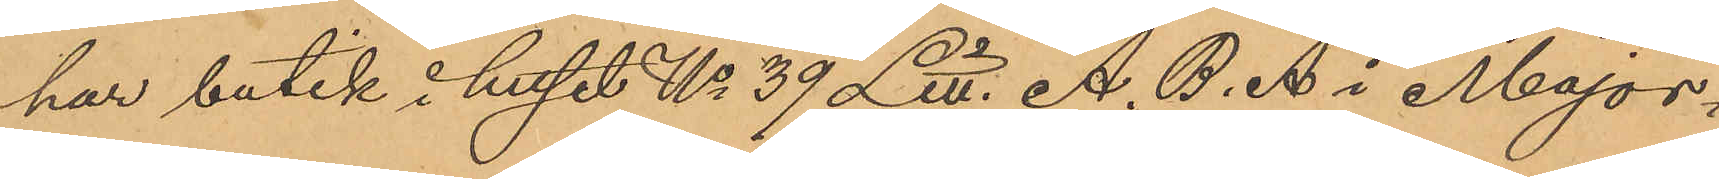har butik i huset No 39 Litt. A. B. A i Major¬
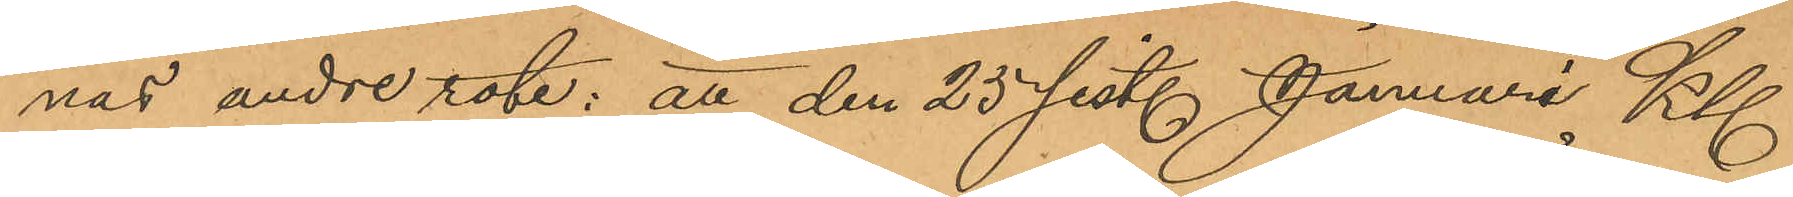nas andre rote: att den 25 sist. Januari Kl
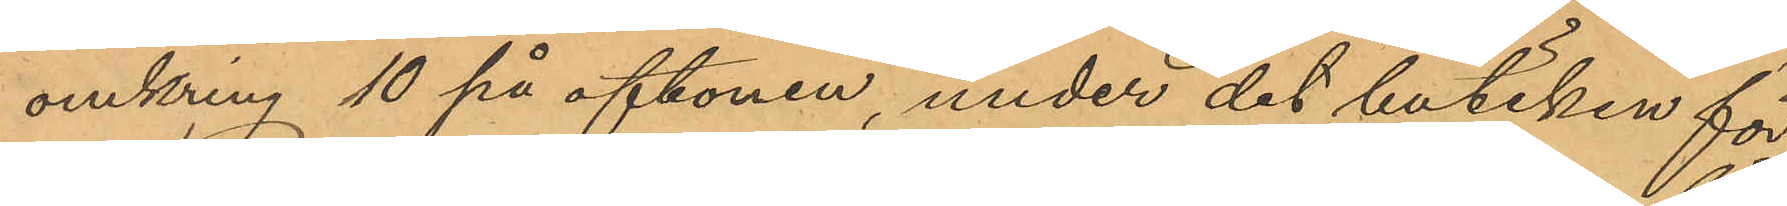omkring 10 på aftonen, under det butiken för
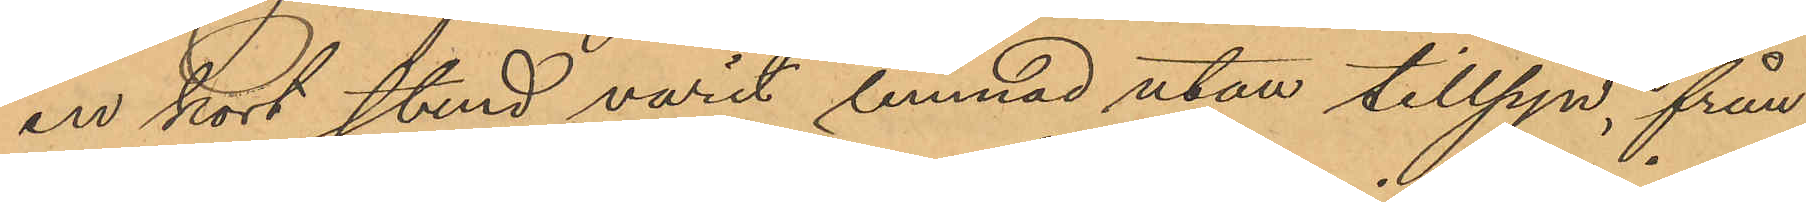en kort stund varit lemnad utan tillsyn, från
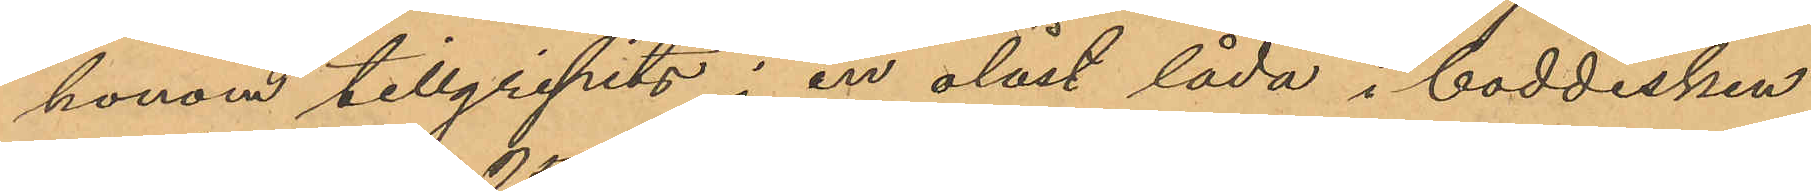honom tillgripits i en olåst låda i boddisken
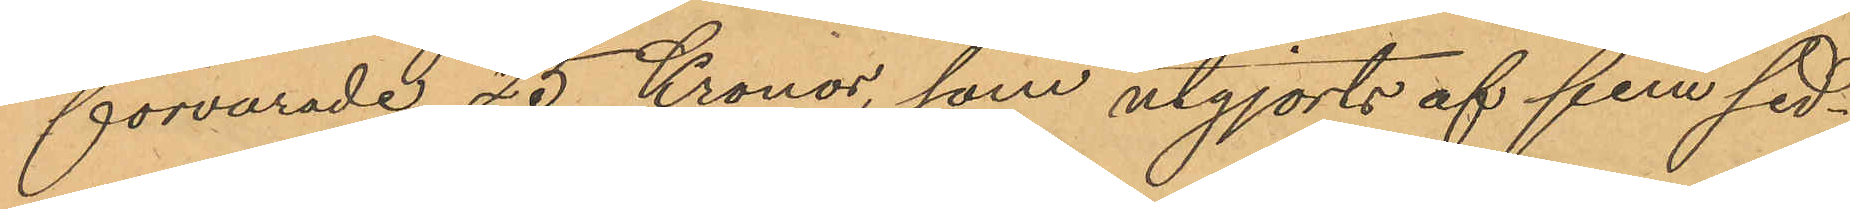förvarade 25 Kronor, som utgjorts af fem sed¬
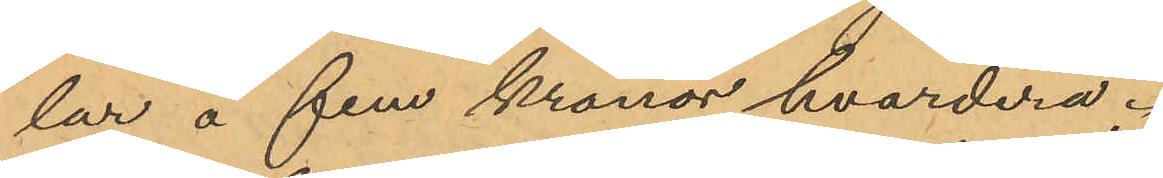lar á fem kronor hvardera;
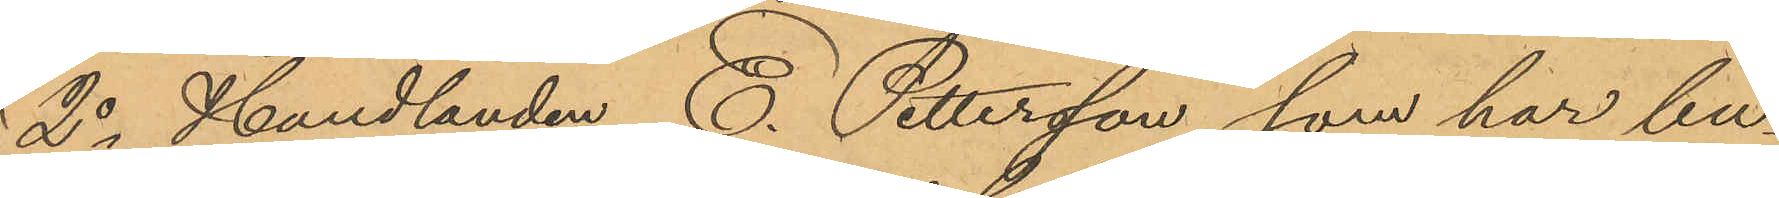2o Handlanden C. Pettersson, som har bu¬
